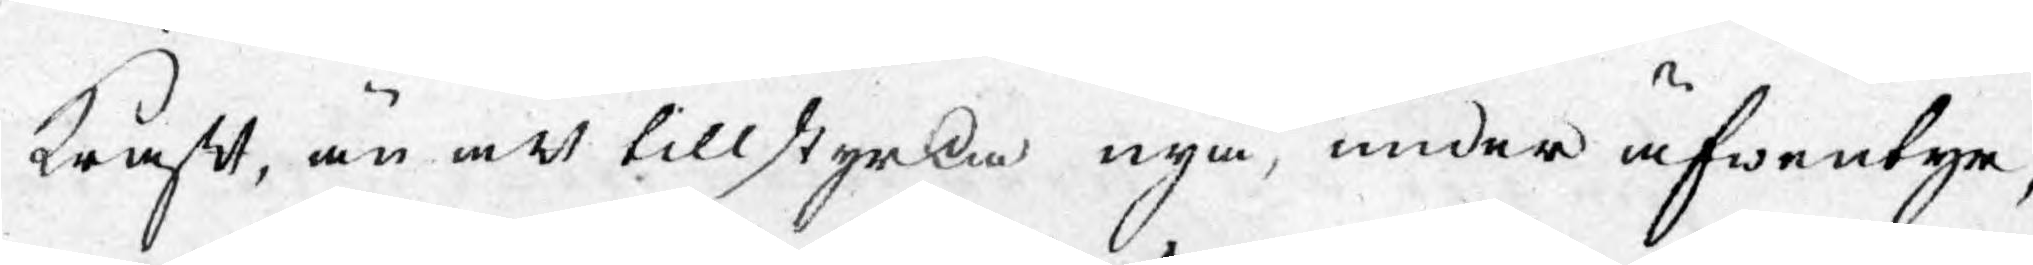kraft, än att tillstyrka nya, under äfwentyr,
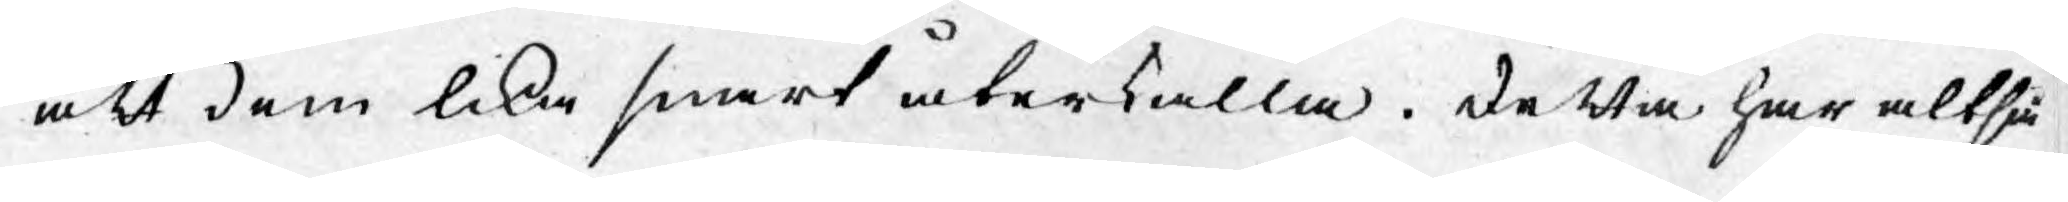att dem lika snart återkalla. Detta har altså
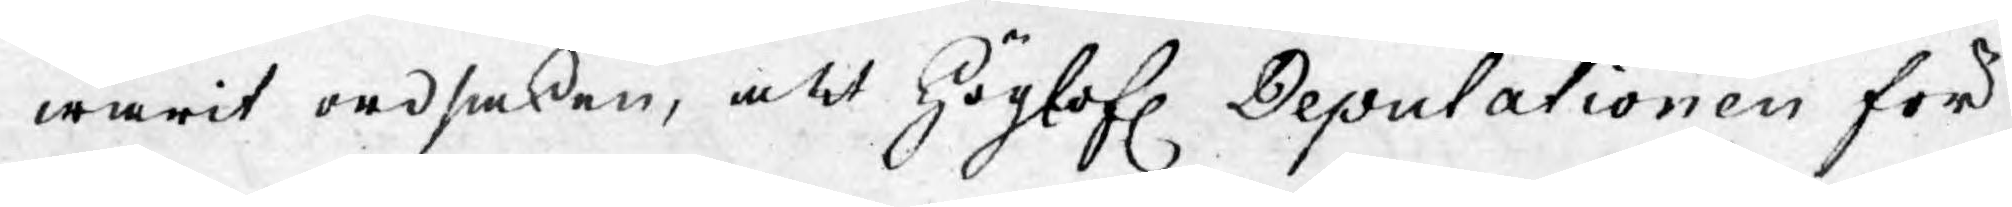warit ordsaken, att Höglofl. Deputationen för
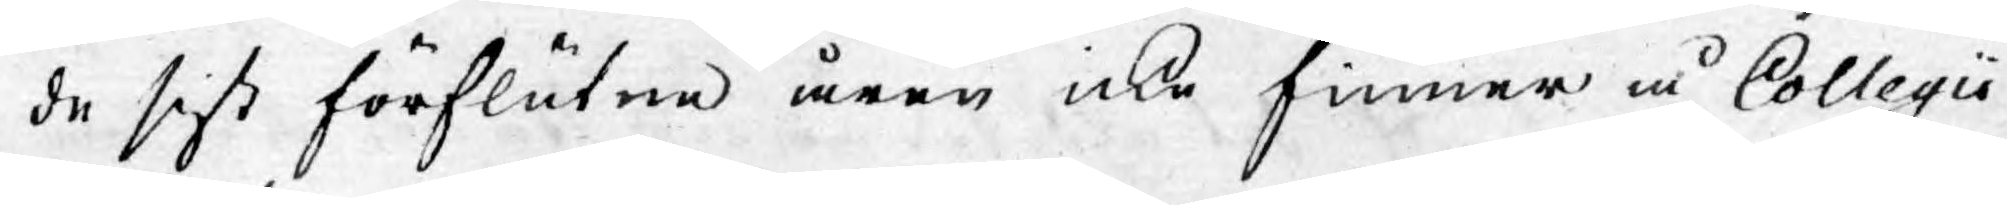de sist förflutne åren icke finner å Collegii
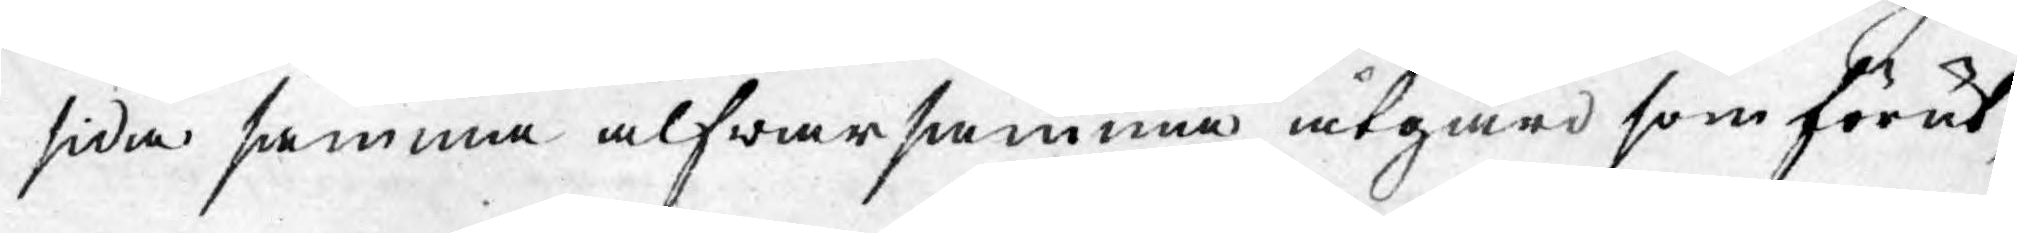sida samma alfwarsamma åtgärd som förut,
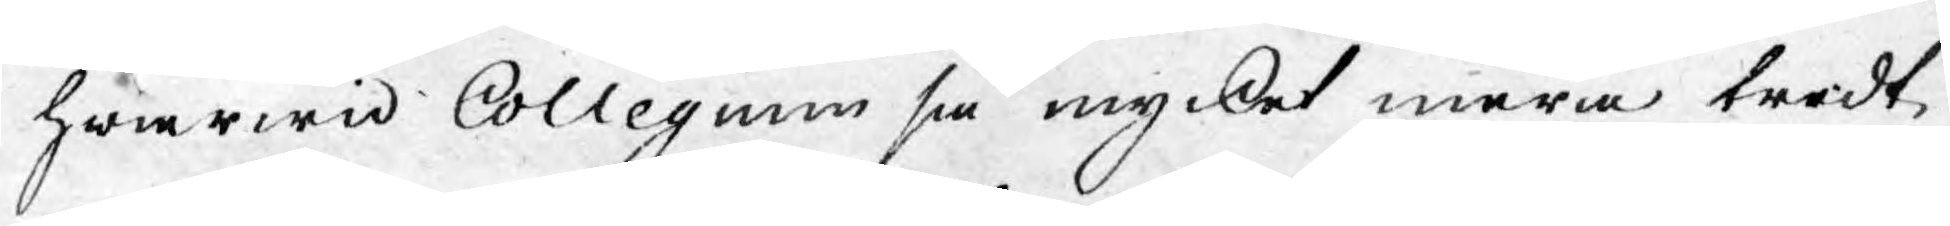hwarwid Collegium så mycket mera trodt
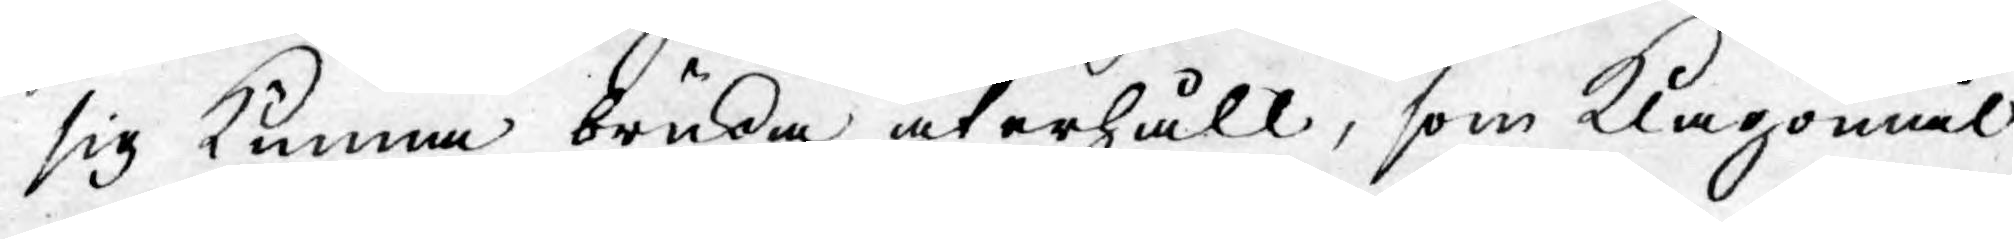sig kunna bruka återhåll, som Klagomål
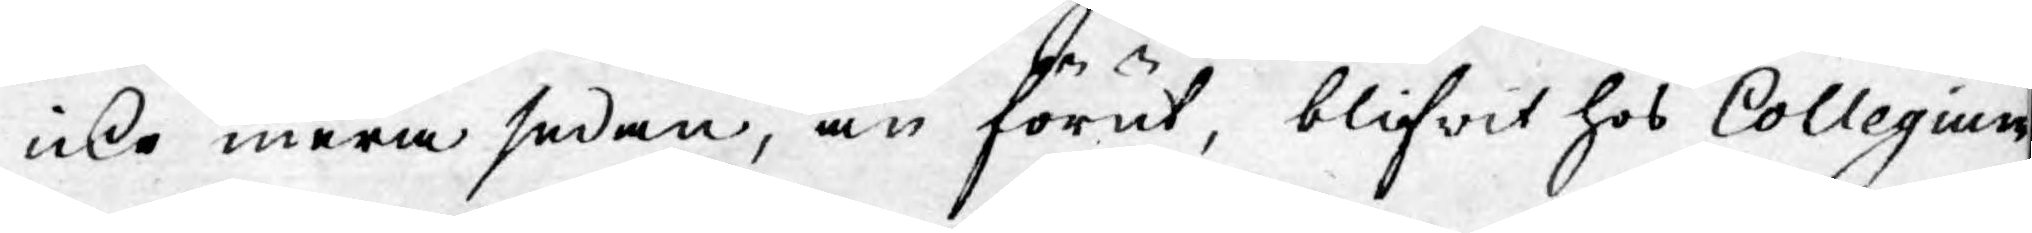icke mera sedan, än förut, blifwit hos Collegium
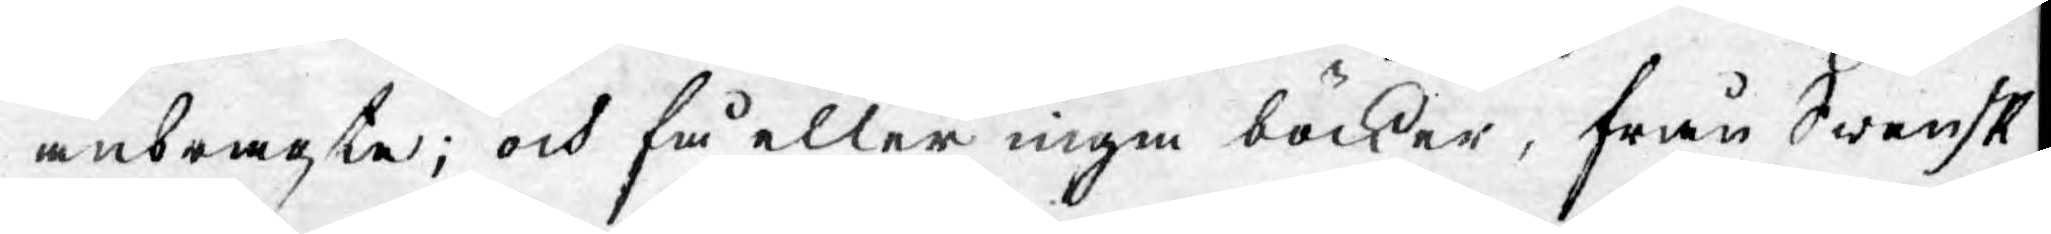anbragte; och få eller inge böcker, från Swensk
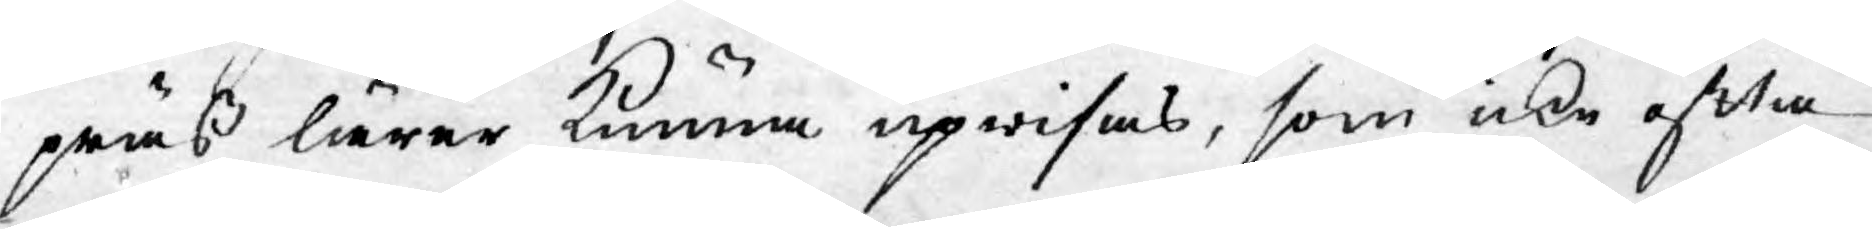präß lärer kunna upwisas, som icke ofta
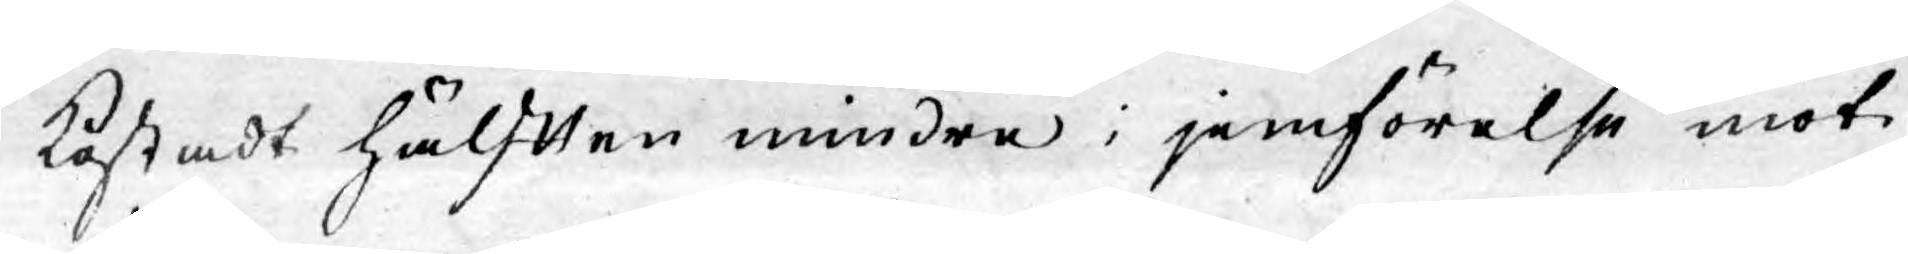kostadt hälften mindre i jemförelse mot
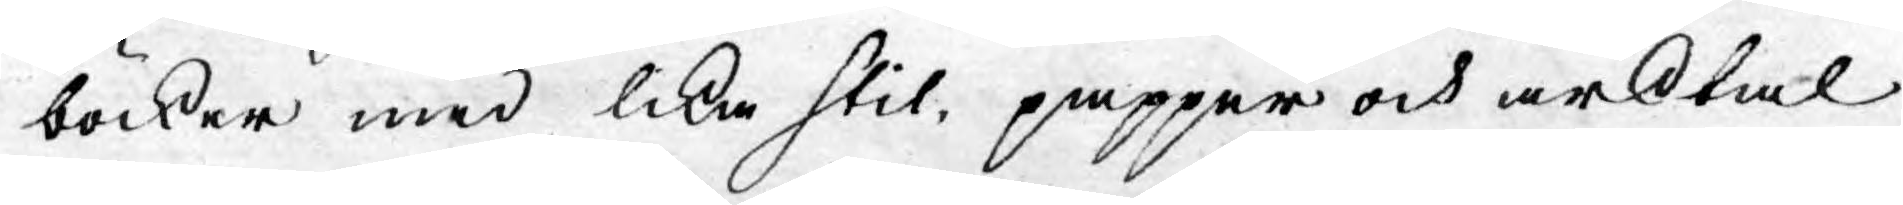böcker med lika stil, papper och arktal
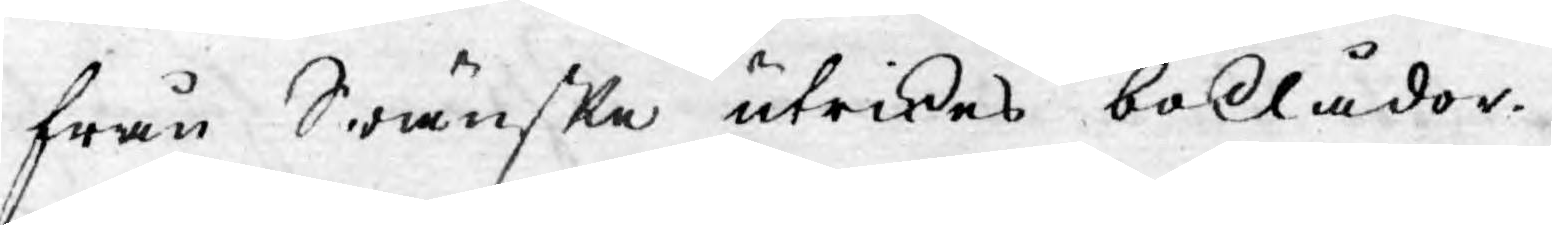från Swänske utrikes boklådor.
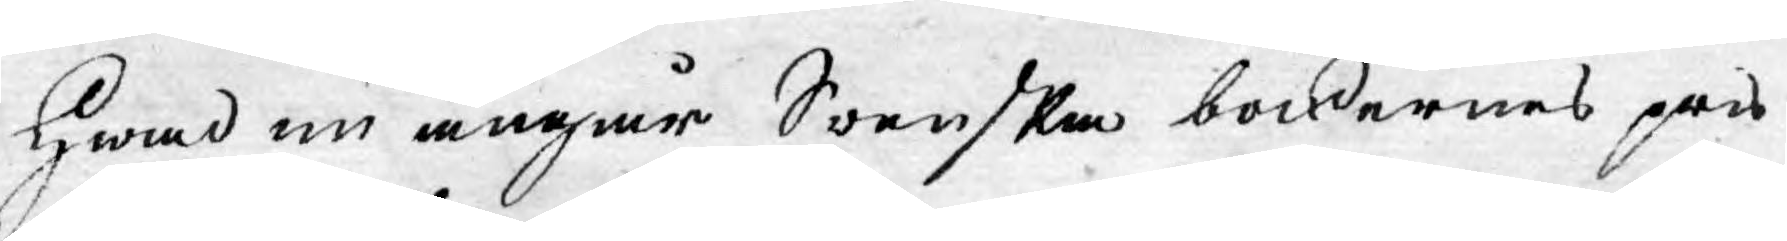Hwad nu angår Swenska böckernes pris
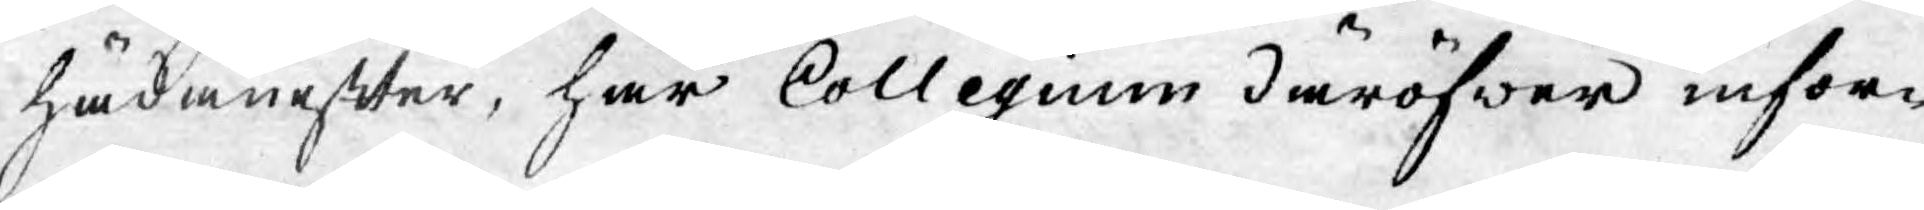hädanefter, har Collegium däröfwer infor¬
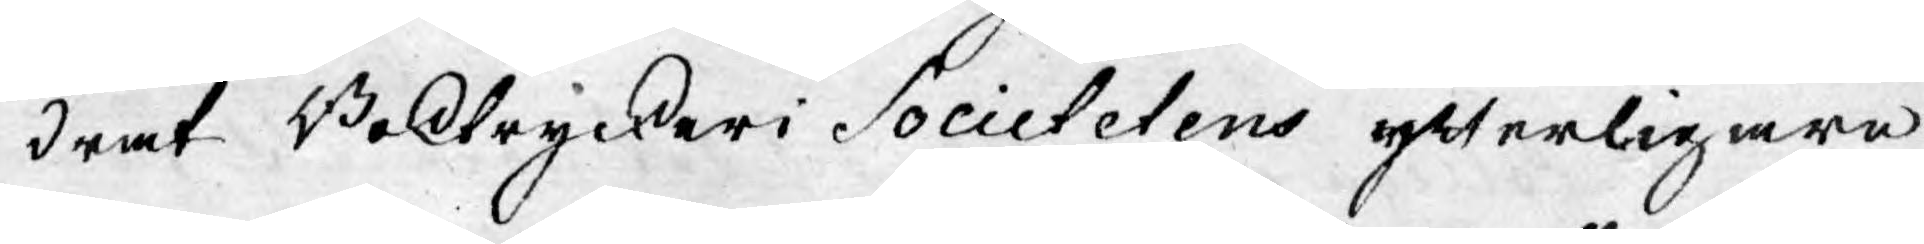drat Boktryckeri Societetens ytterligare
